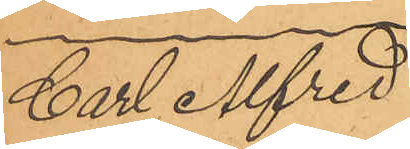Carl Afred
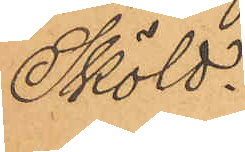Sköld.
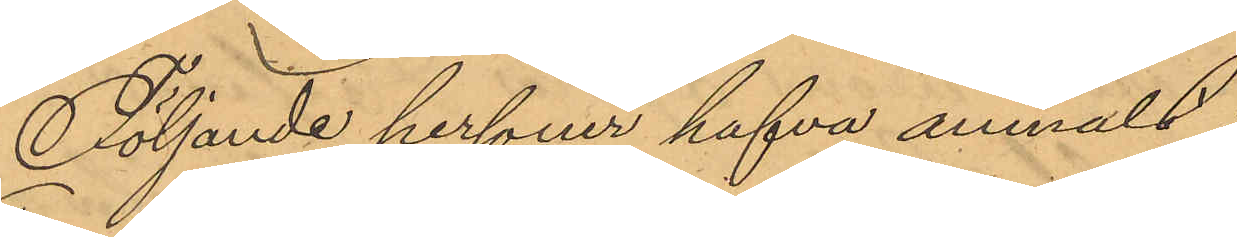Följande personer hafva anmält:
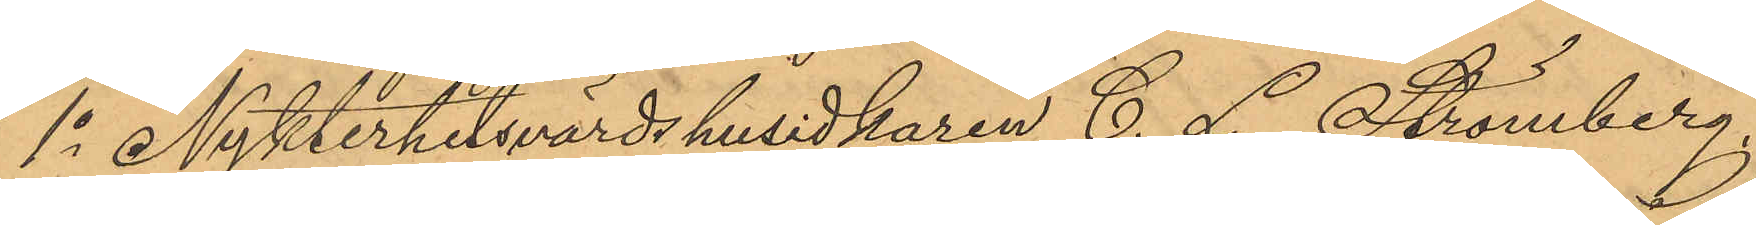1o Nykterhetsvärdshusidkaren C. L. Strömberg
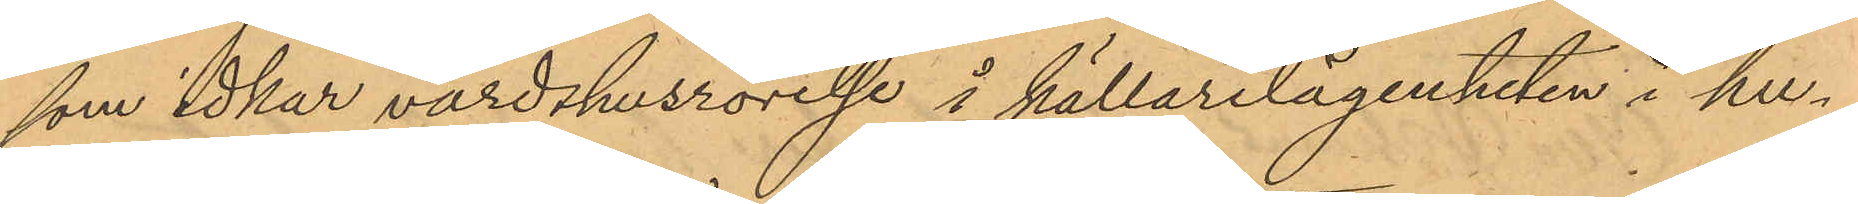som idkar värdshusrörelse i källarelägenheten i hu¬
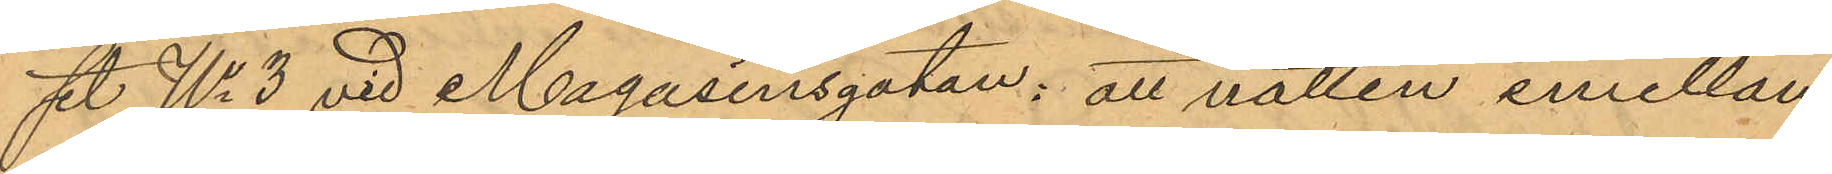set No 3 vid Magasinsgatan: att natten emellan
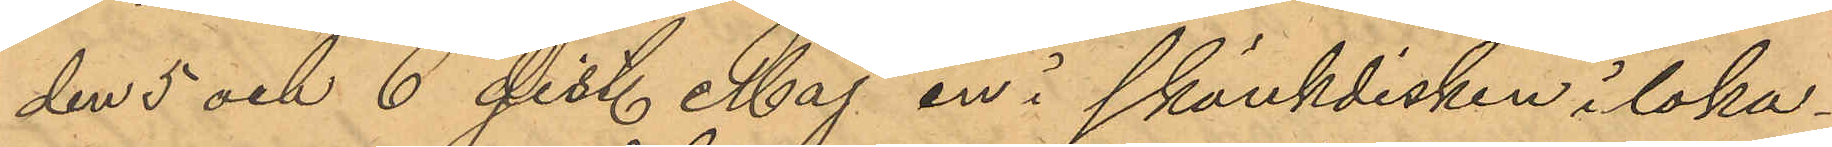den 5 och 6 sist. Maj en i skänkdisken i loka¬
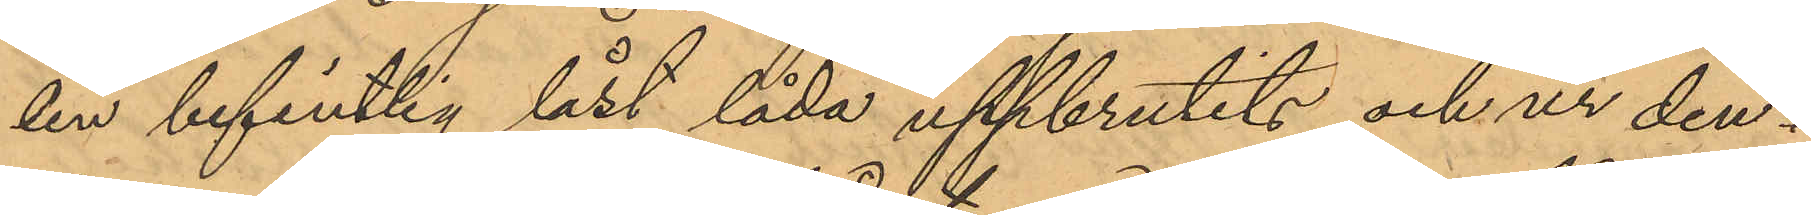len befintlig låst låda uppbrutits och ur den¬
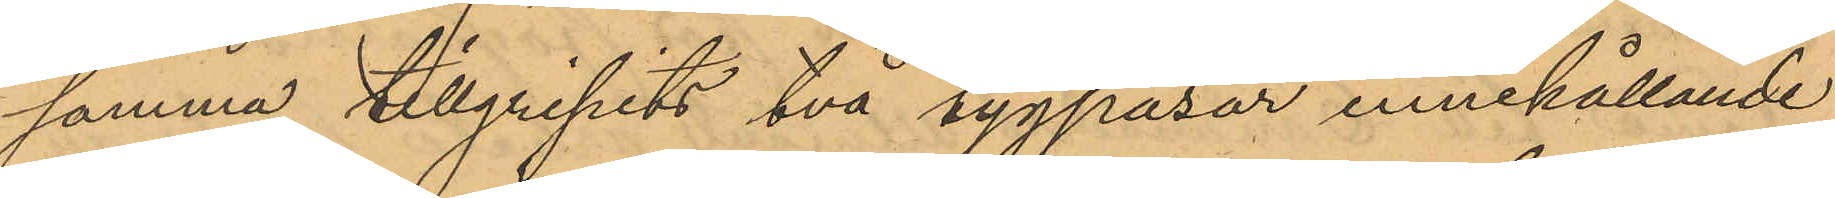samma tillgripits två tygpåsar, innehållande
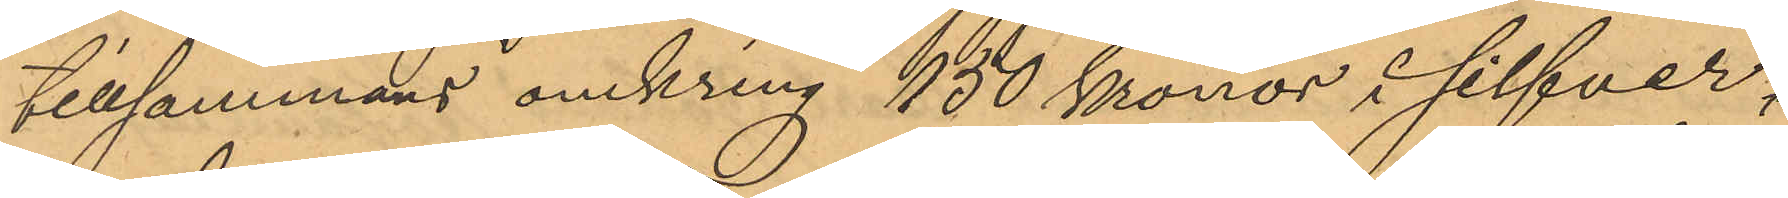tillsammans omkring 150 Kronor i silfver¬
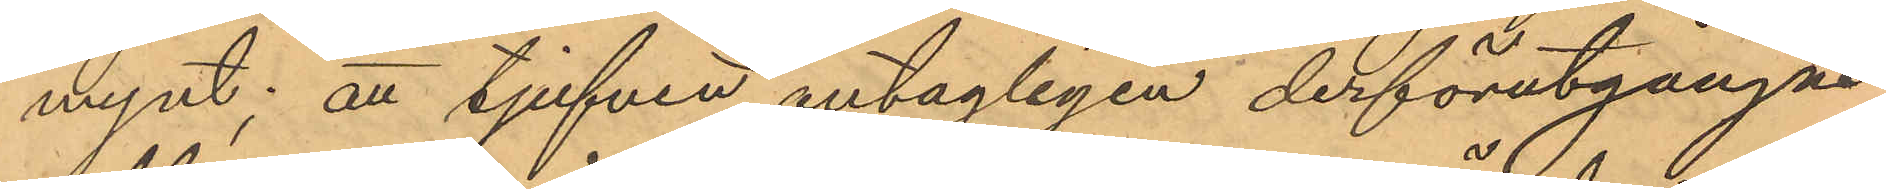mynt; att tjufven antagligen derförutgångne
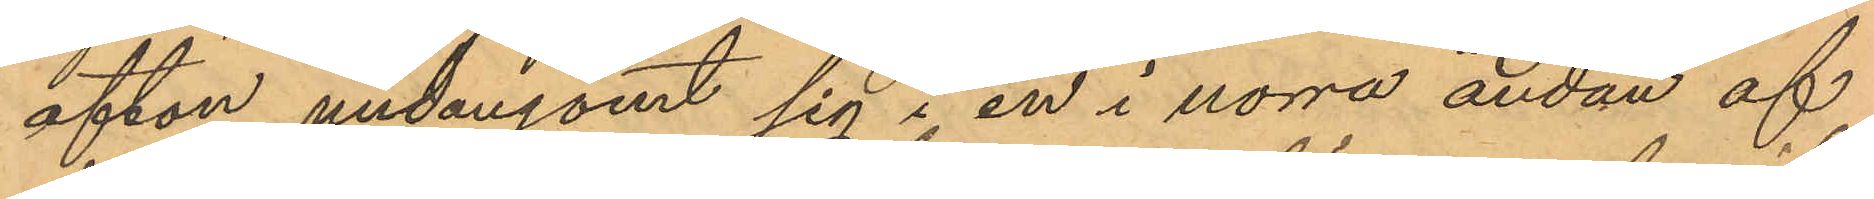afton undangömt sig i en i norra ändan af
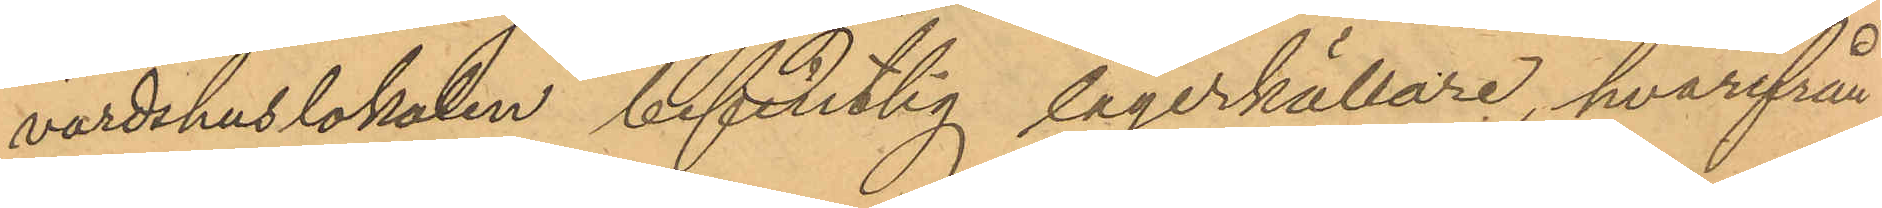värdshuslokalen befintlig lagerkällare, hvarifrån
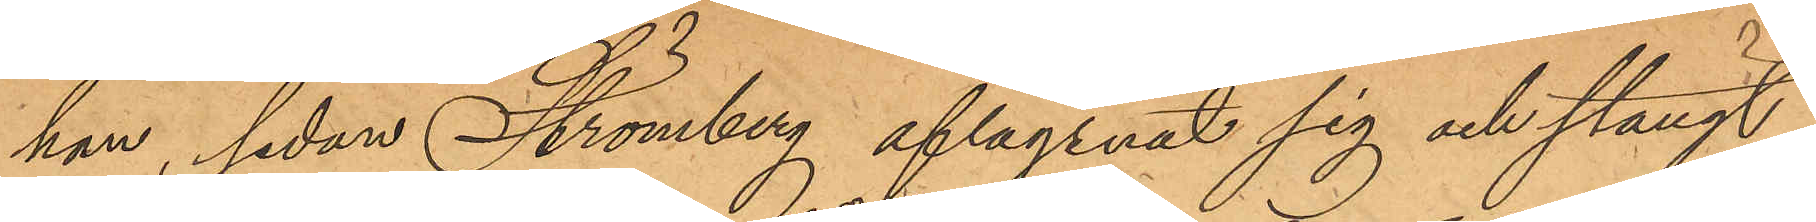han, sedan Strömberg aflägsnat sig och stängt
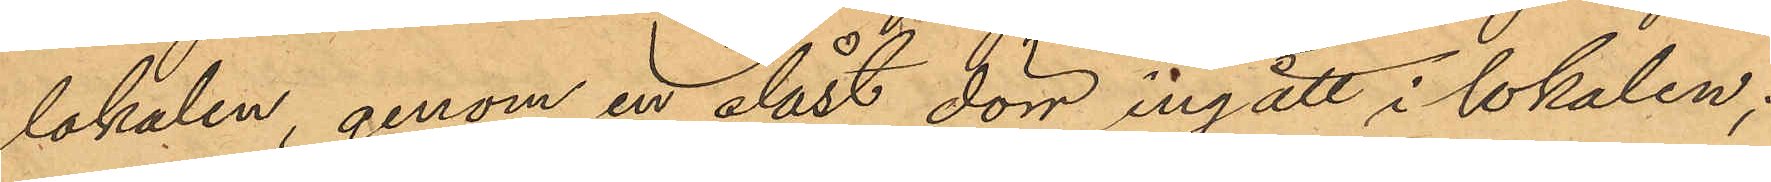lokalen, genom en olåst dörr ingått i lokalen;
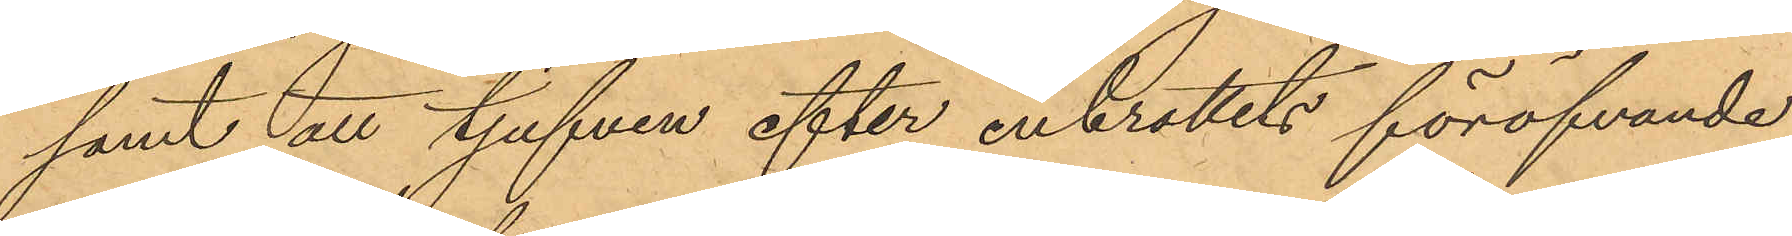samt att tjufven efter inbrottets föröfvande
